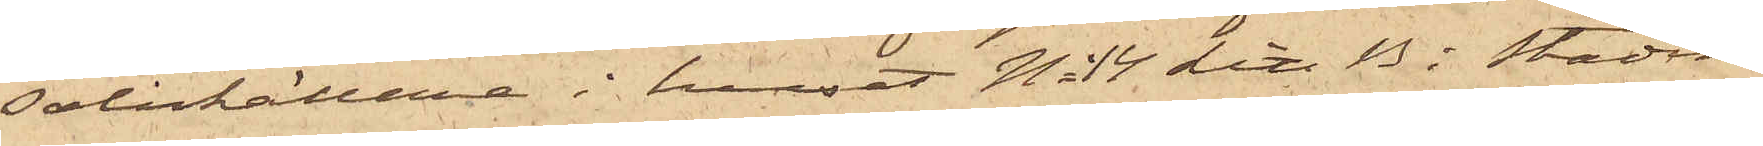salukällare i huset No 14 Litt B i Stadens
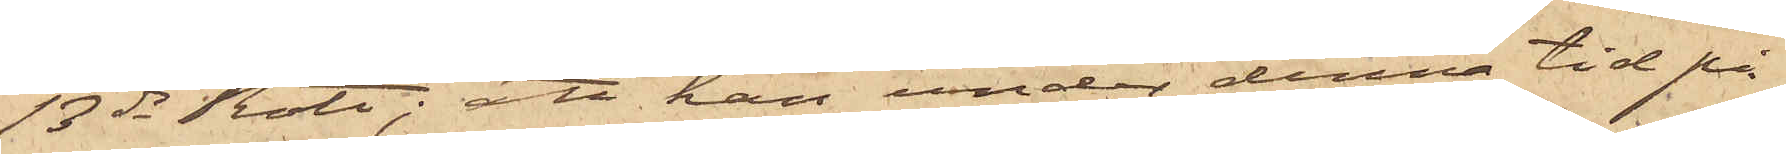13de Rote; att han under denna tid på
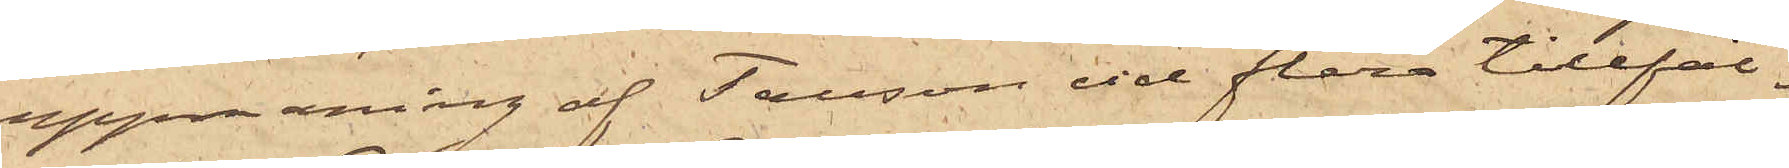uppmaning af Tausson vid flera tillfäl¬
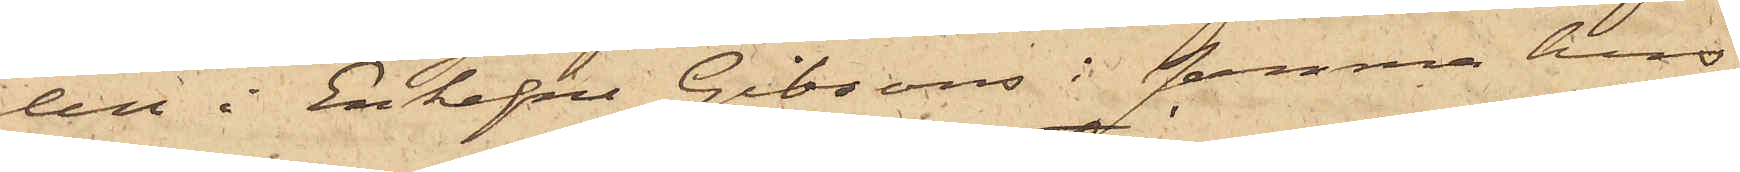len i Enkefru Gibsons i samma hus
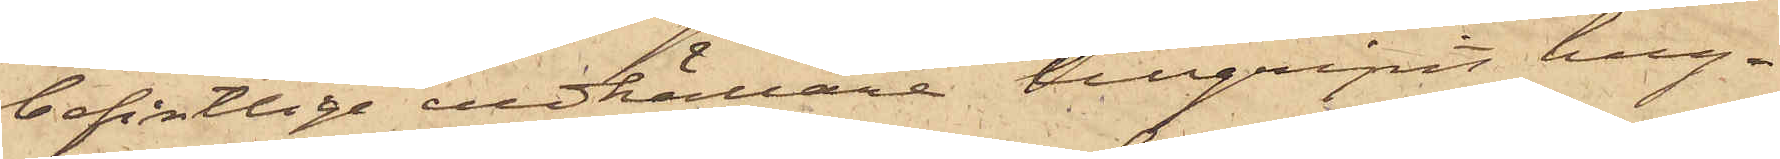befintlige vedkällare tillgripit hug¬
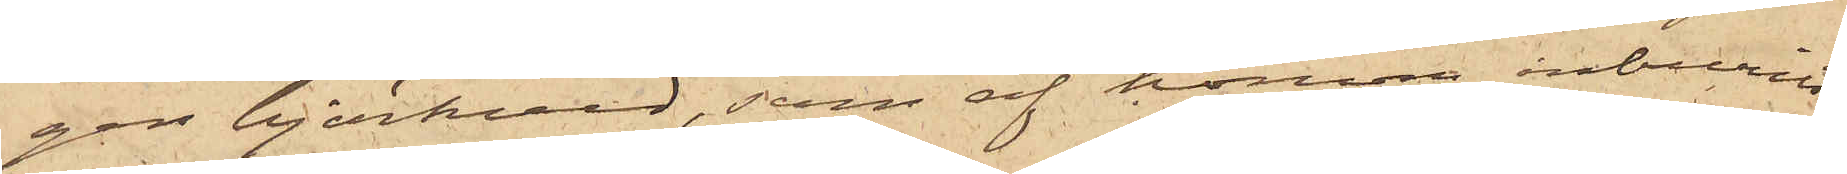gen björkved, som af honom inburits
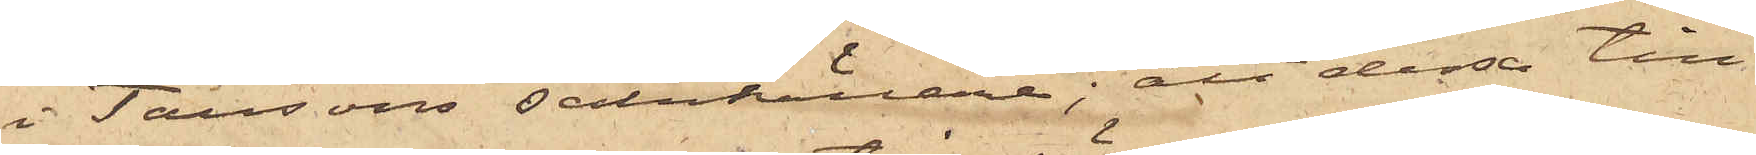i Taussons salukällare; att dessa till¬
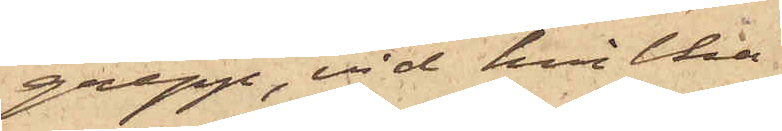grepp, vid hvilka
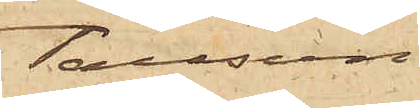Tausson
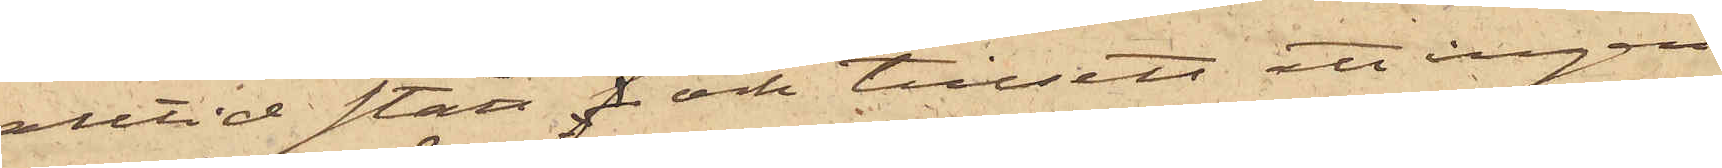alltid stått och tillsett att ingen
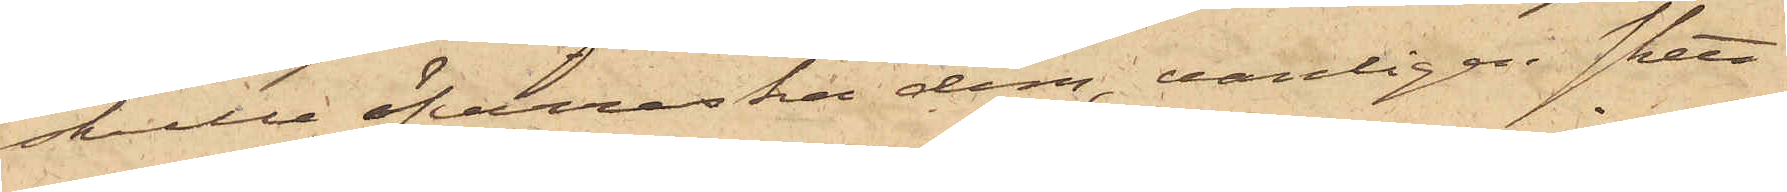skulle öfverraska dem, vanligen skett
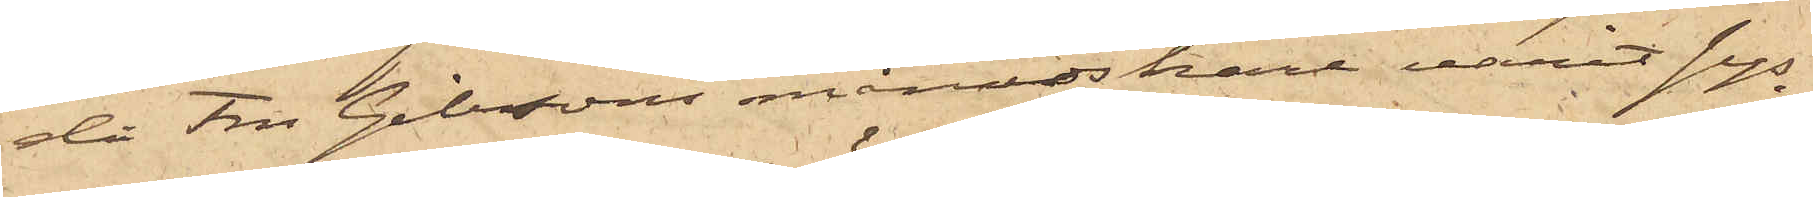då Fru Gibsons månadskarl varit sys¬
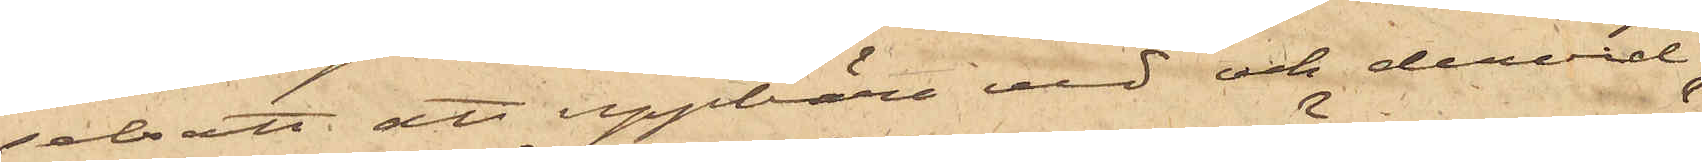selsatt att uppbära ved och dervid
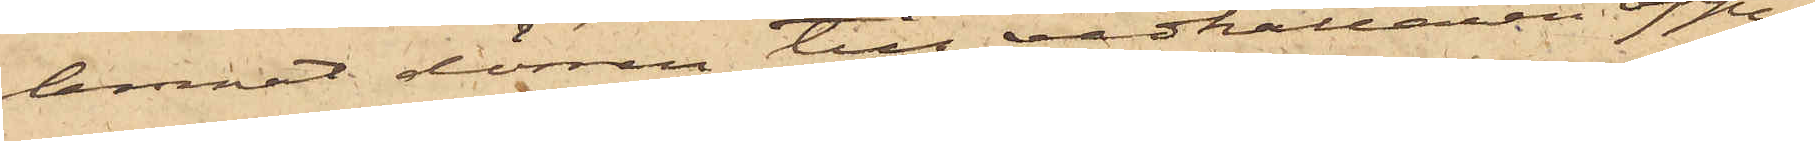lemnat dörren till vedkällaren öppen;
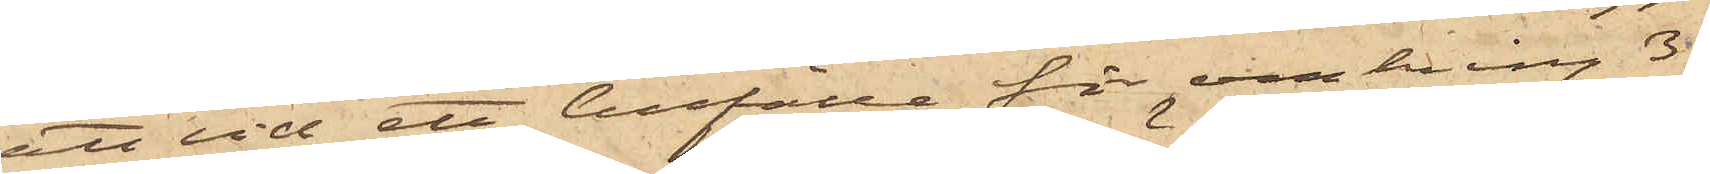att vid ett tillfälle för omkring 3
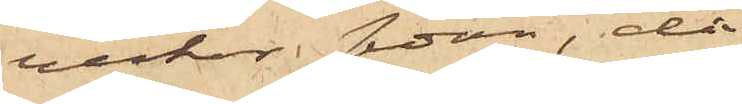veckor sedan, då
